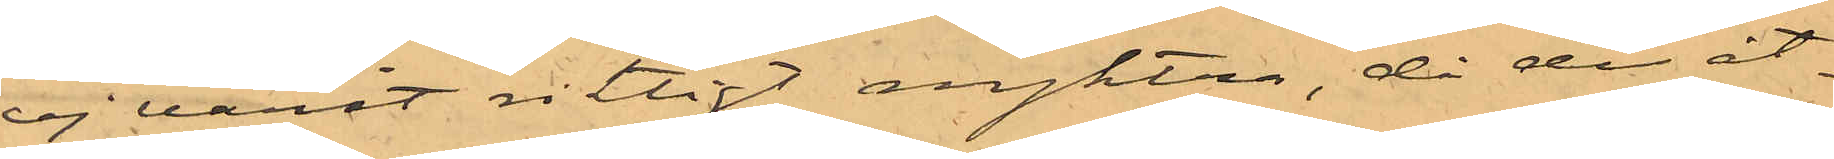ej varit riktigt nyktra, då de åt¬
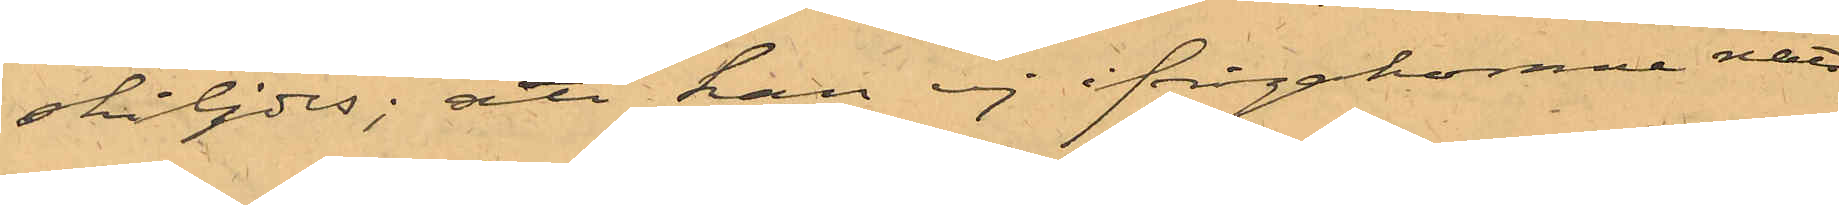skiljdes; att han ej ifrågakomne natt
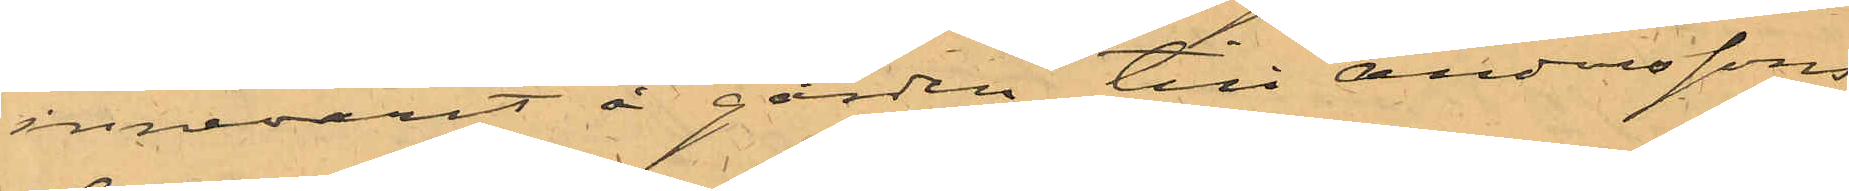innevarit å gården till Anderssons
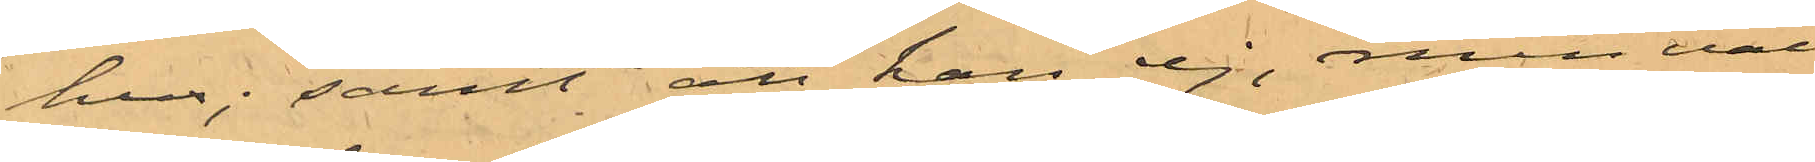hus; samt att han ej, men väl, 
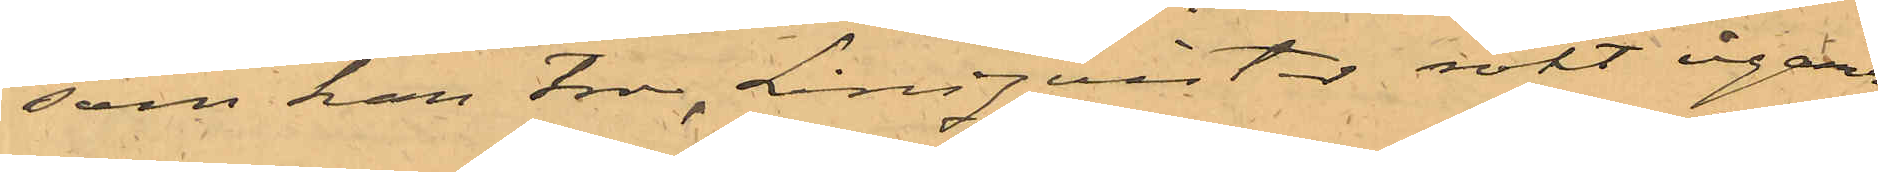som han tror, Lindquister rökt cigarr,
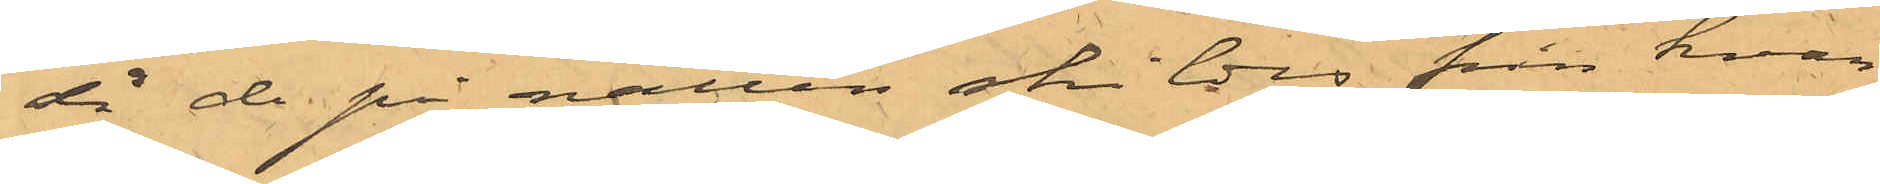då de på natten skildes från hvar¬
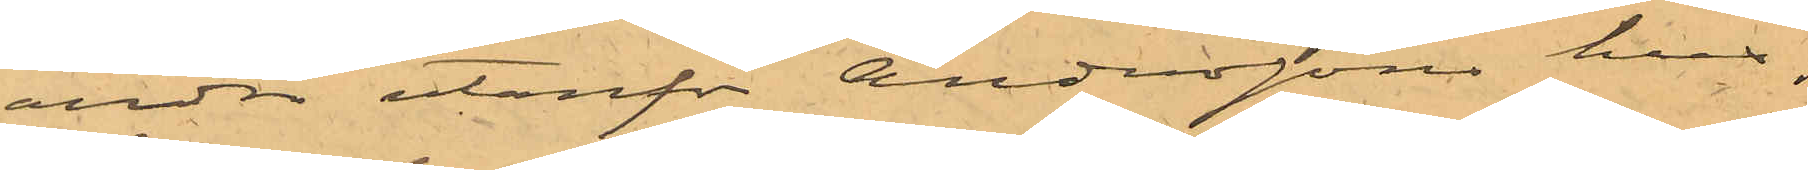andra utanför Anderssons hus.
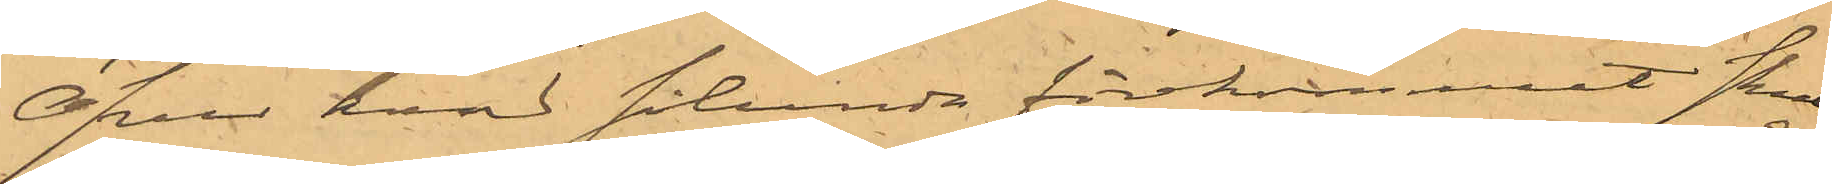Öfver hvad sålunda förekommet skul¬ 
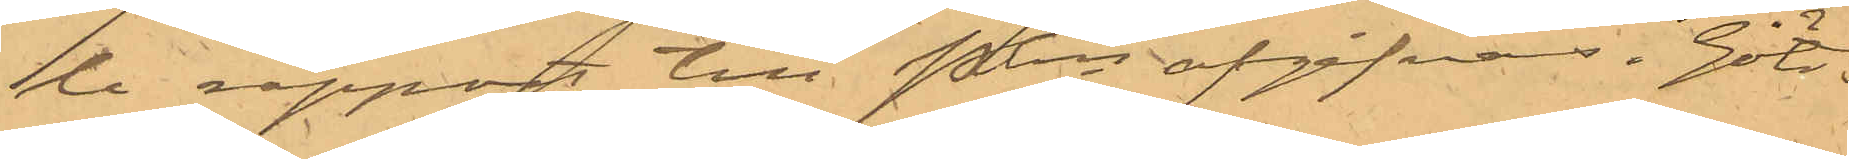le rapport till PKn afgifvas. Göte¬
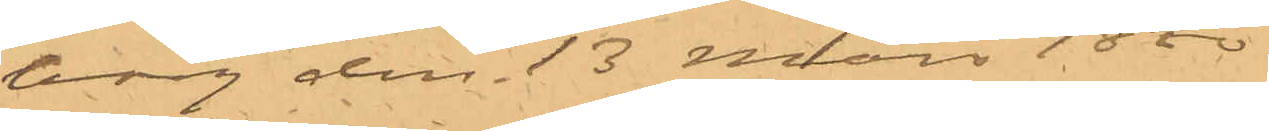borg den 13 Mars 1880.
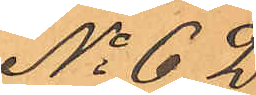No 62.
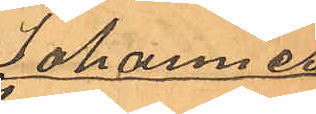Johannes
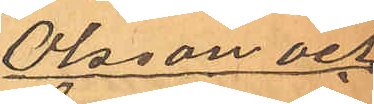Olsson och
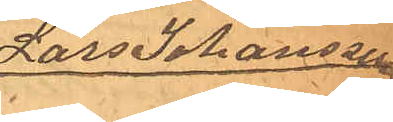Lars Johansson
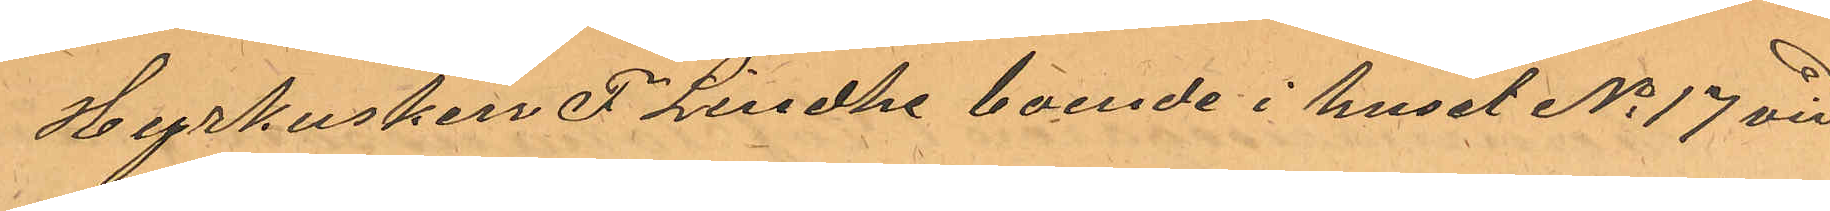Hyrkusken F Lindhe boende i huset No 17 vid
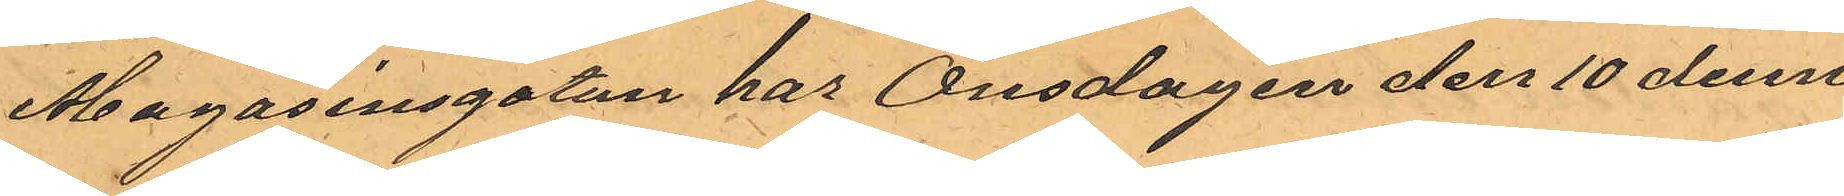Magasinsgatan har Onsdagen den 10 dennes
